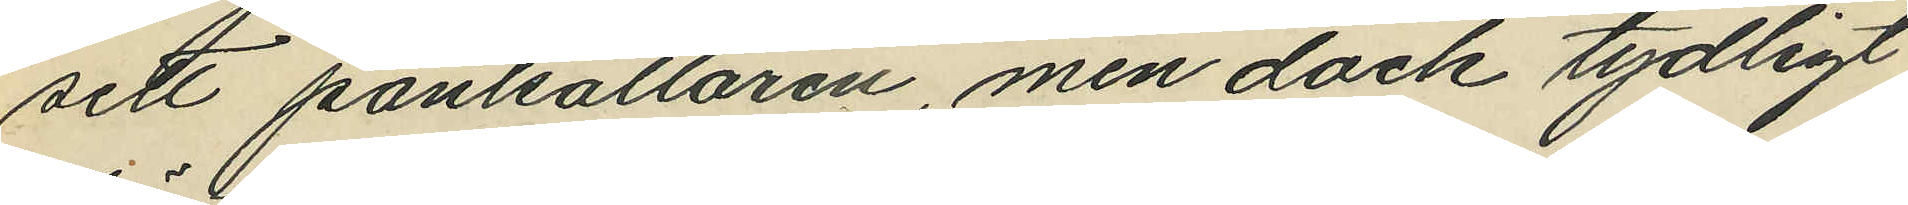sett pantsättaren, men dock tydligt
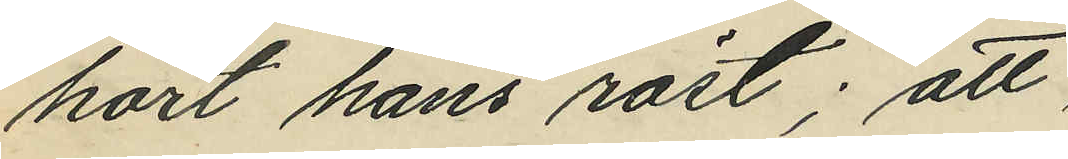hört hans röst; att
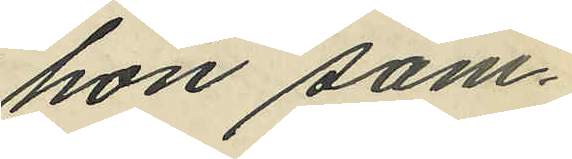hon sam¬
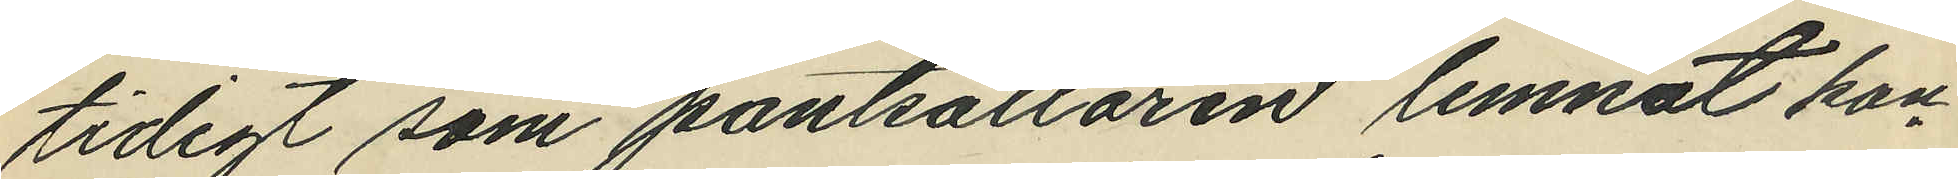tidigt som pantsättaren lemnat kon¬
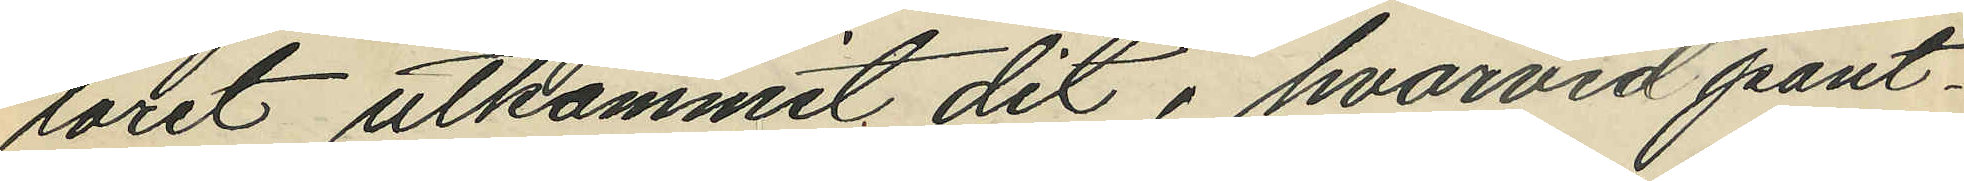toret utkommit dit, hvarvid pant¬
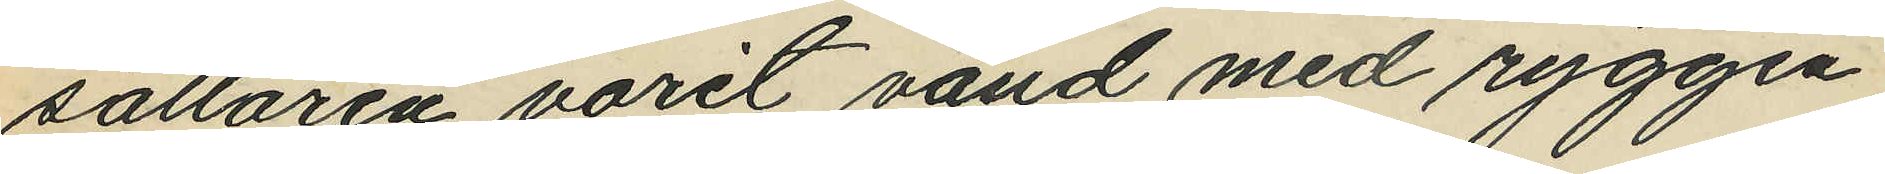sättaren varit vänd med ryggen
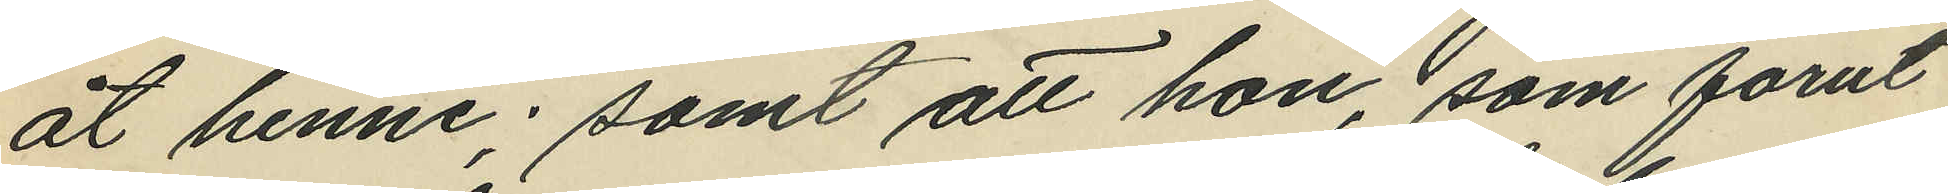åt henne; samt att hon, som förut
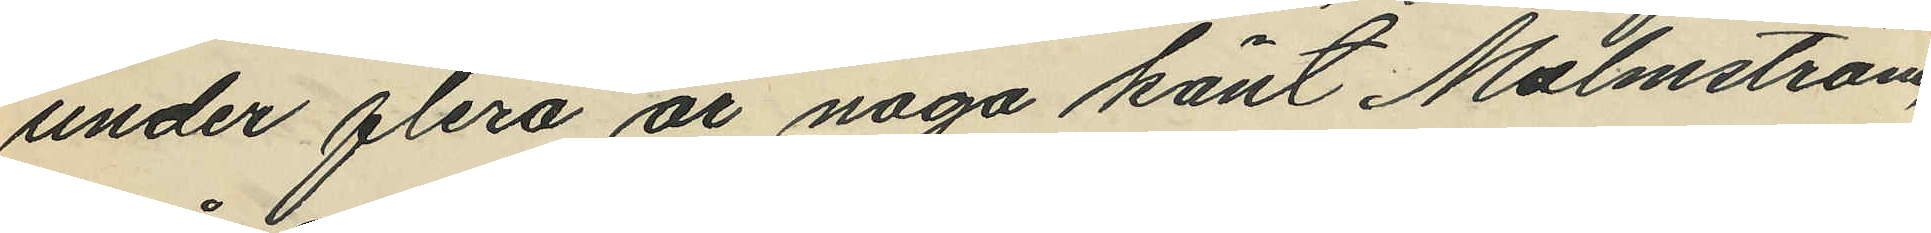under flera år noga känt Malmström,
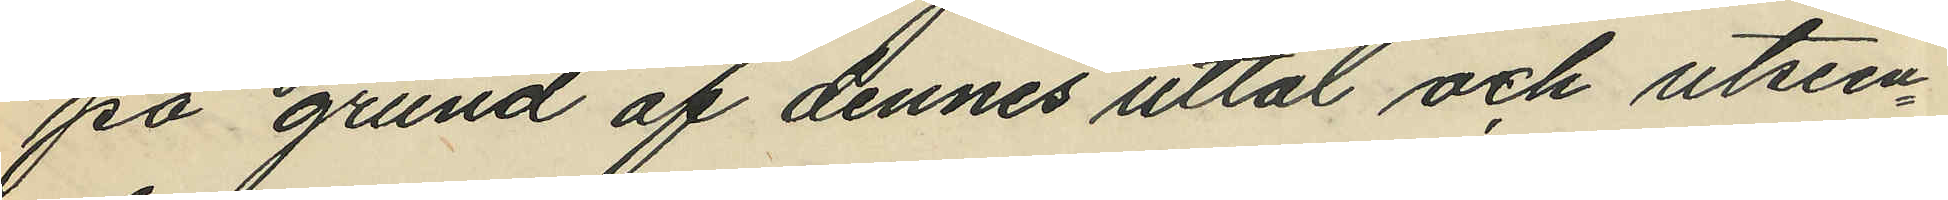på grund af dennes uttal och utseen¬
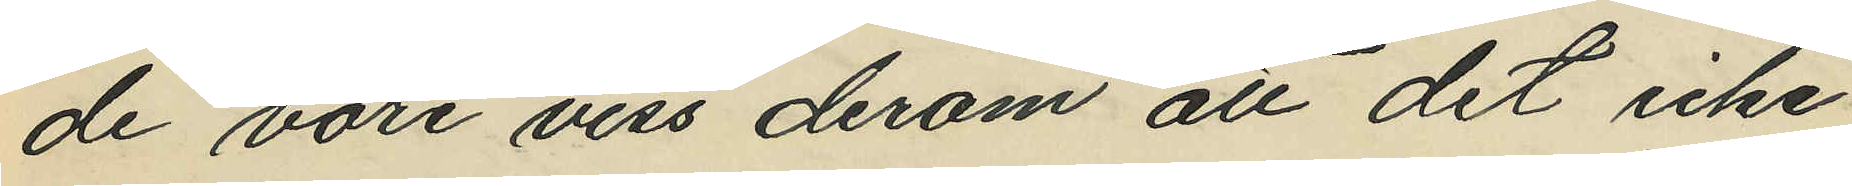de vore viss derom att det icke
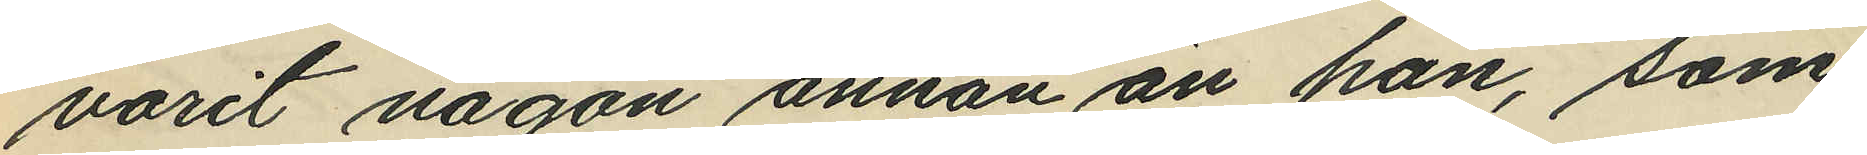varit någon annan än han, som
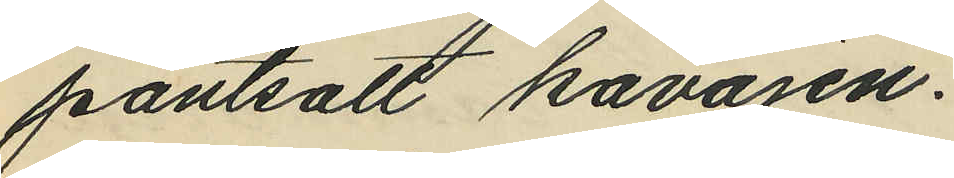pantsatt kavajen.
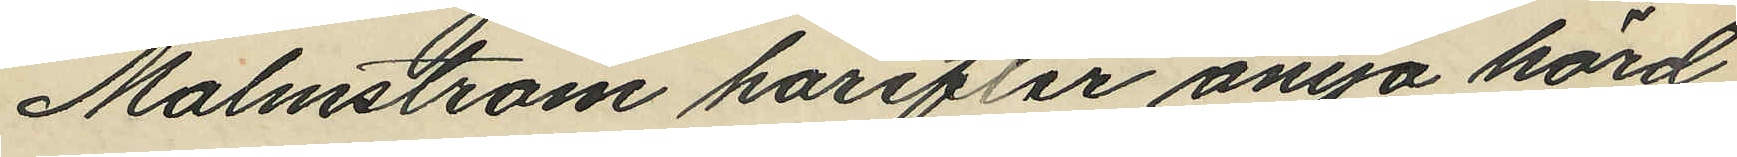Malmström härefter ånyo hörd
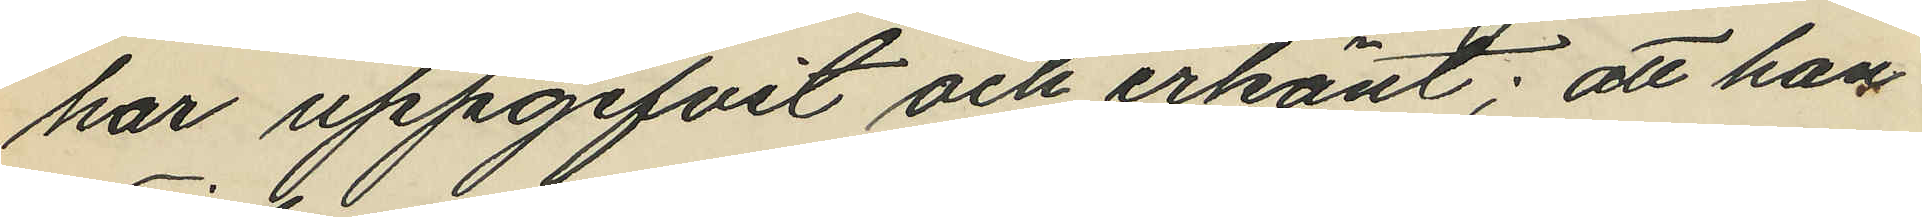har uppgifvit och erkänt: att han
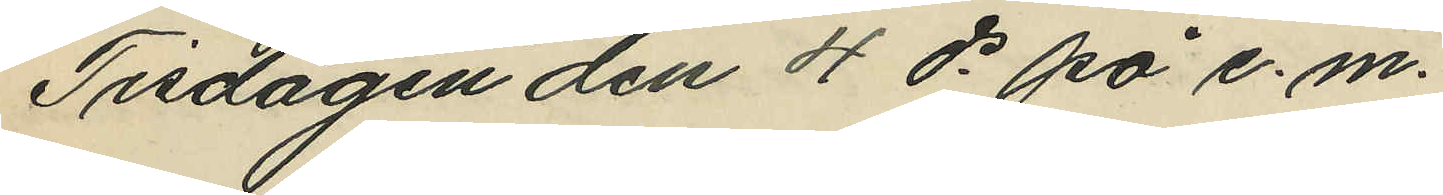Tisdagen den 4 ds på e. m.
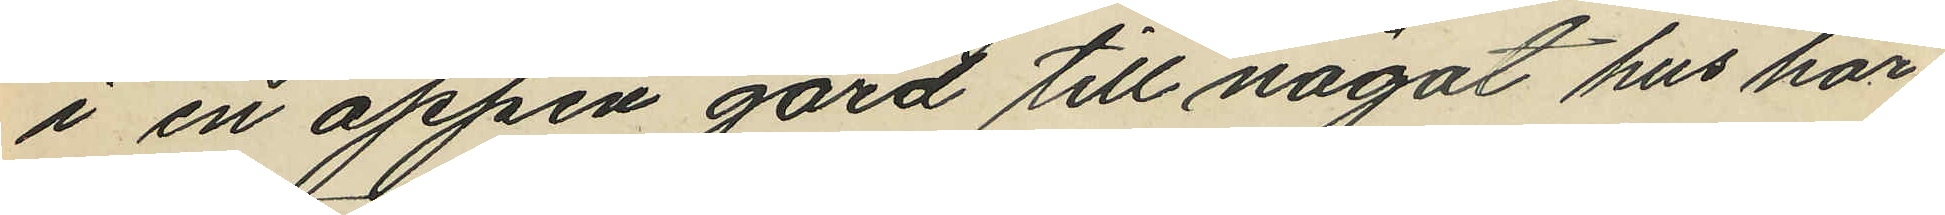i en öppen gård till något hus här
